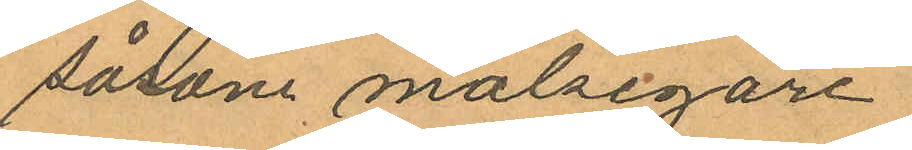såsom målsegare.
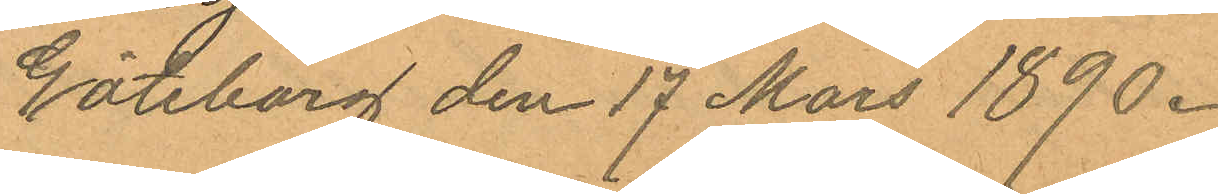Göteborg den 17 Mars 1890.
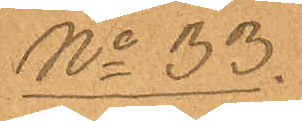No 33.
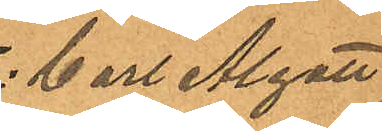Carl Algott
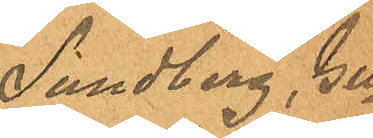Sundberg, Gu¬
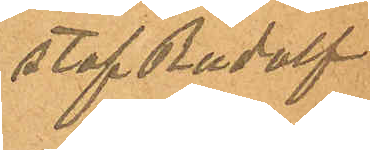staf Rudolf
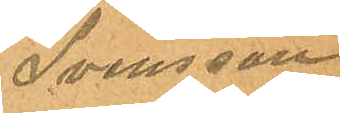Svensson
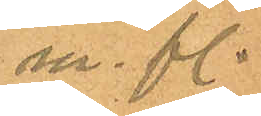m. fl.
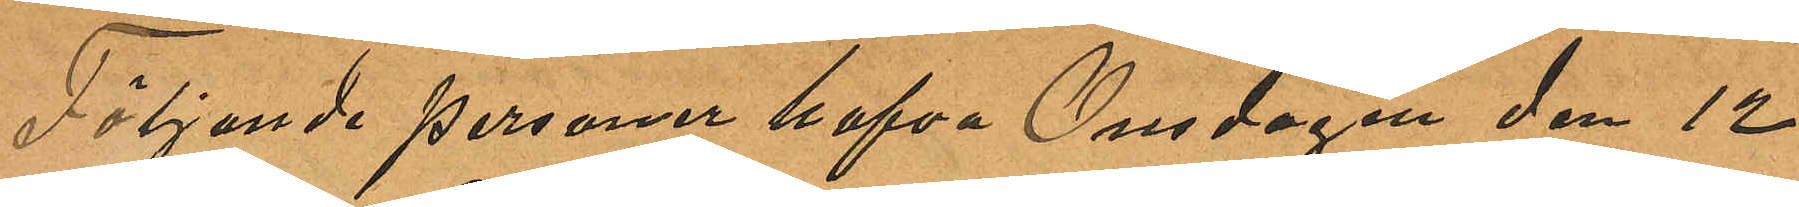Följande personer hafva Onsdagen den 12
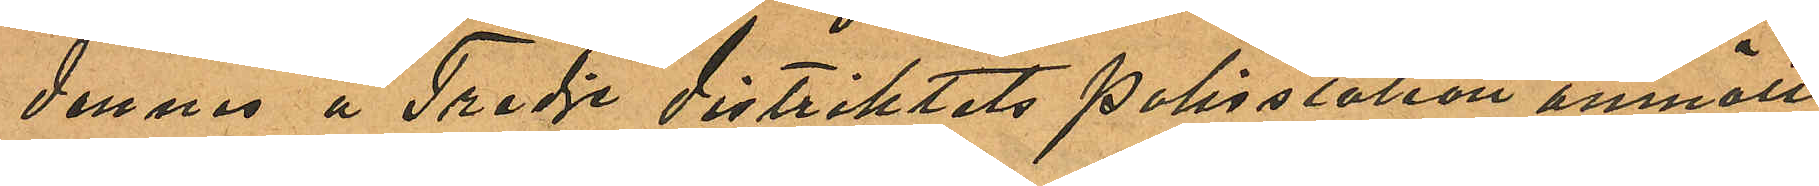dennes å Tredje distriktets Polisstation anmält
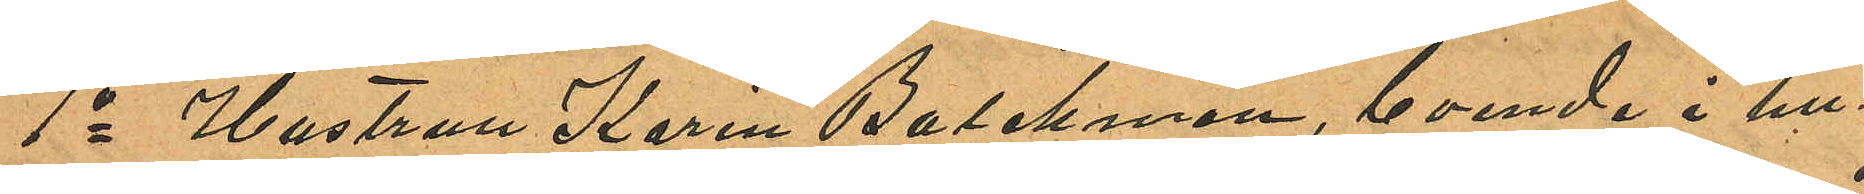1o Hustrun Karin Balchman, boende i hu¬
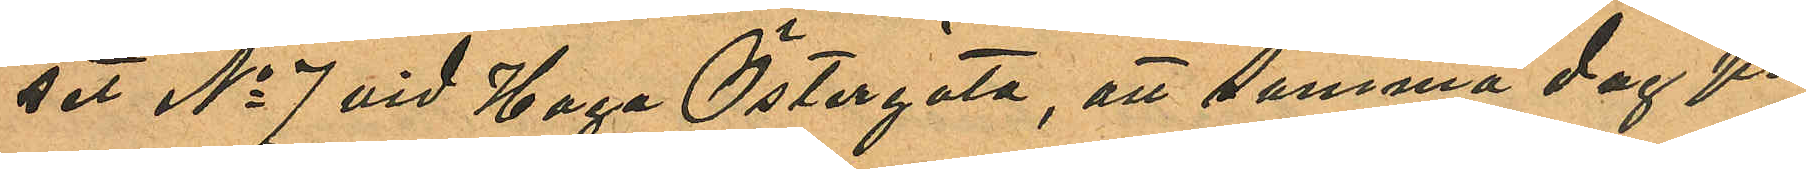set No 7 vid Haga Östergata, att samma dag på
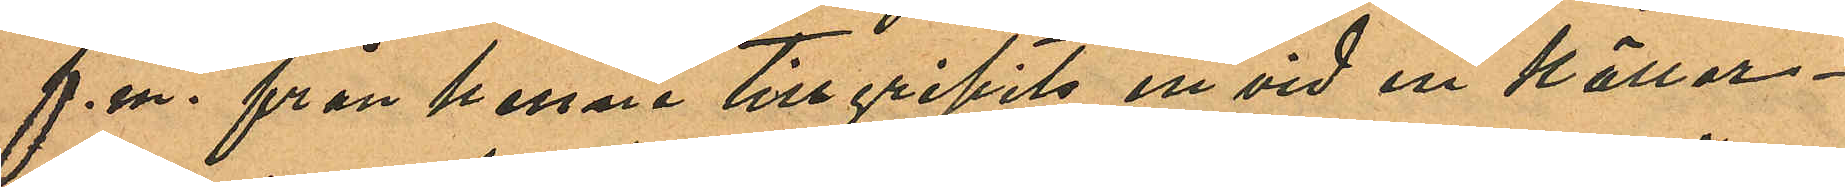f. m. från henne tillgripits en vid en källar¬
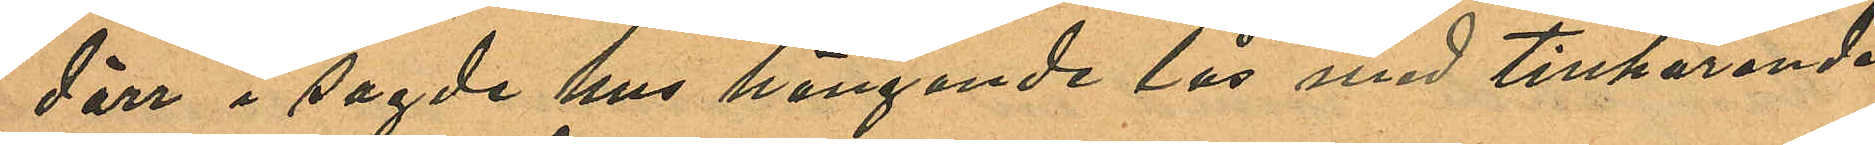dörr i sagde hus hängande lås med tillhörande
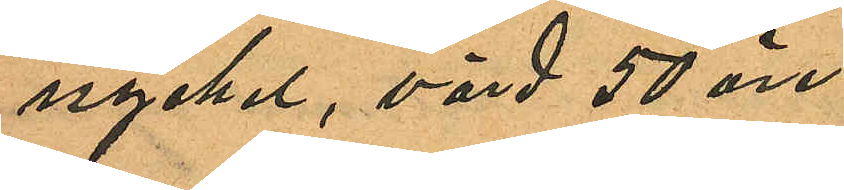nyckel, värd 50 öre.
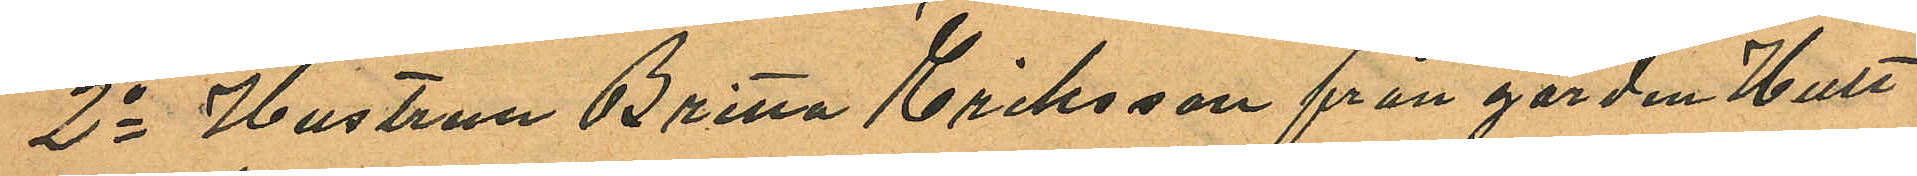2o Hustrun Britta Eriksson från gården Hult
